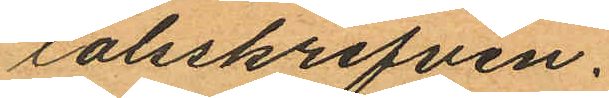talsskrifven.
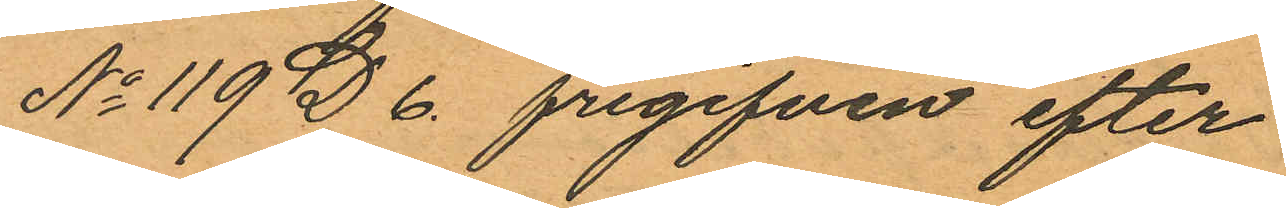No 119 D 6. frigifven efter
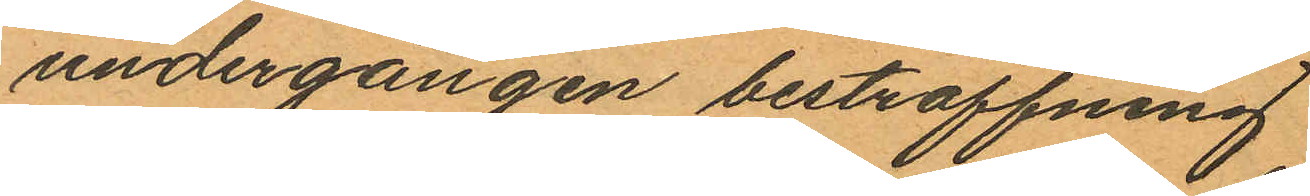undergången bestraffning
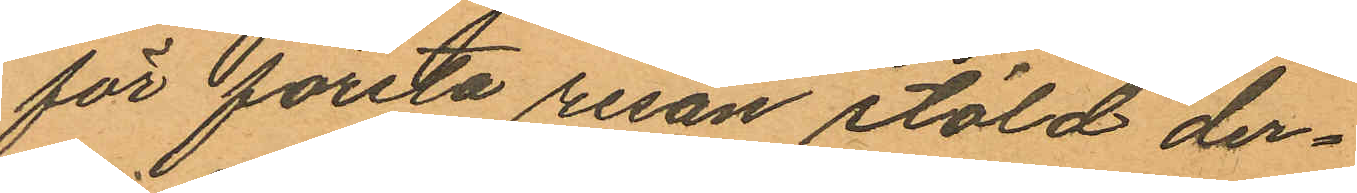för första resan stöld der¬
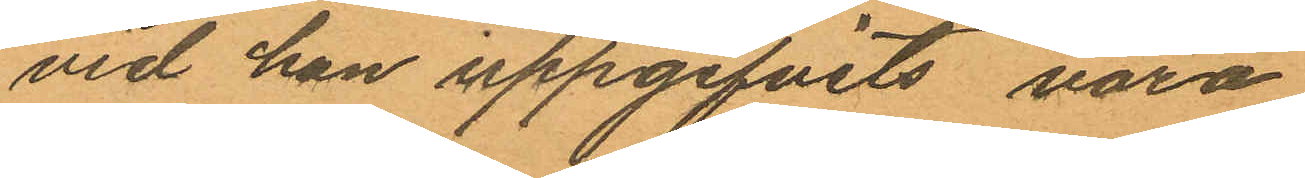vid han uppgifvits vara
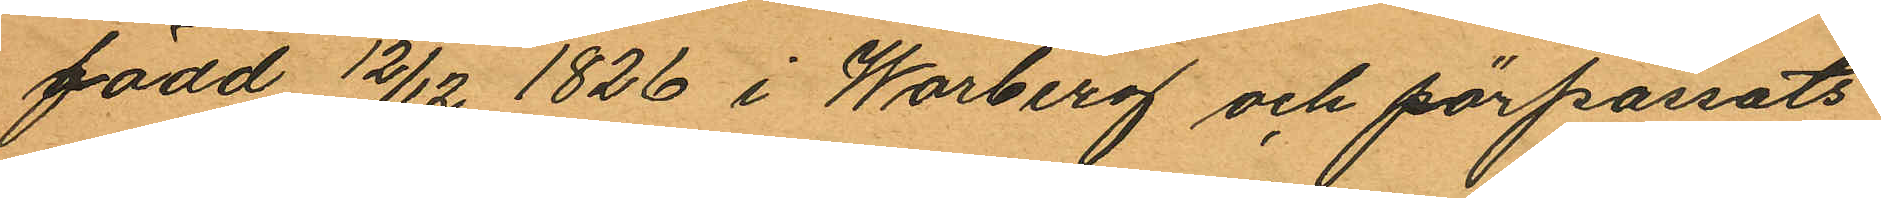född 12/12 1826 i Warberg och förpassats
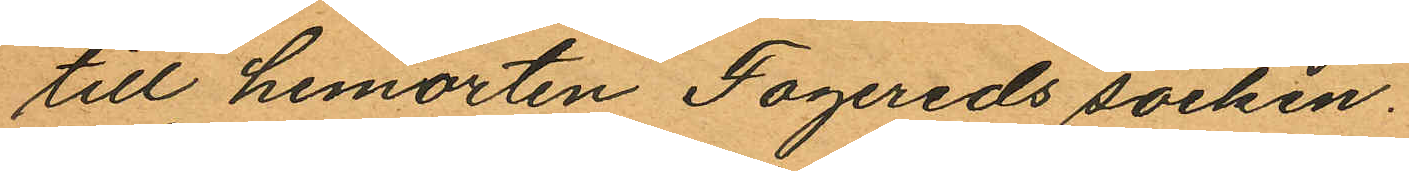till hemorten Fagereds socken.
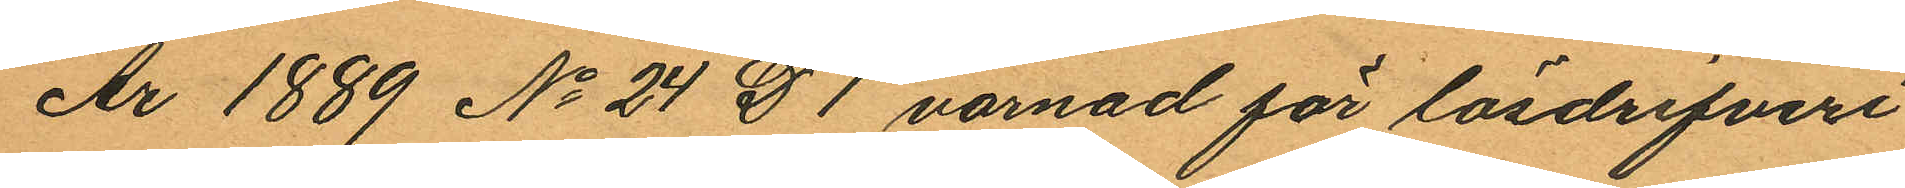År 1889 No 24 D 1 varnad för lösdrifveri
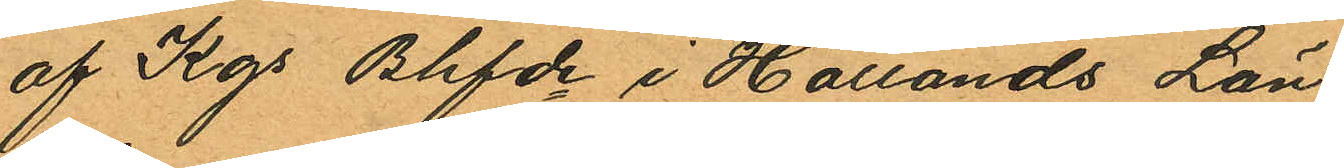af Kgs Bhfde i Hallands Län,
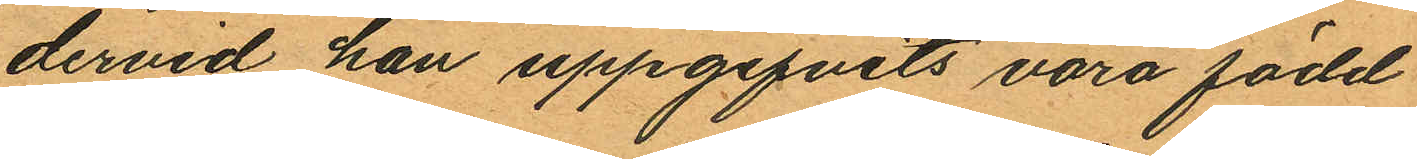dervid han uppgifvits vara född
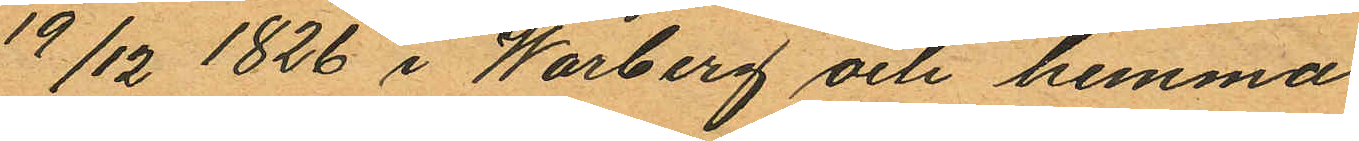19/12 1826 i Warberg och hemma
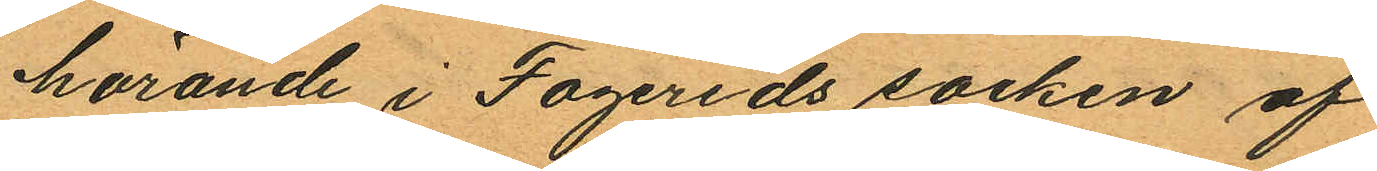hörande i Fagereds socken af
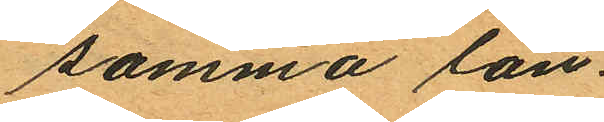samma län.
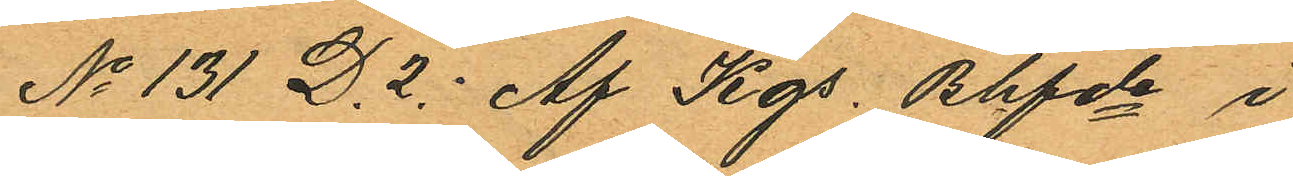No 131 D. 2 Af Kgs. Bhfde i
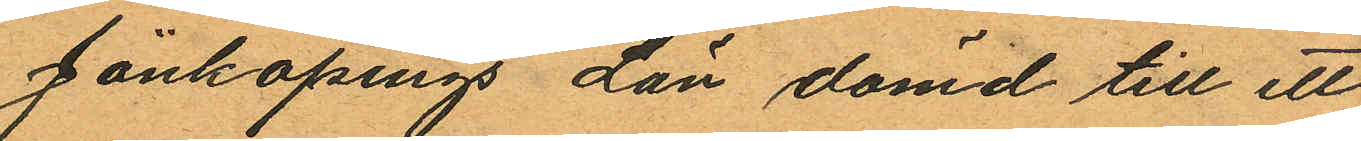Jönköpings Län dömd till ett
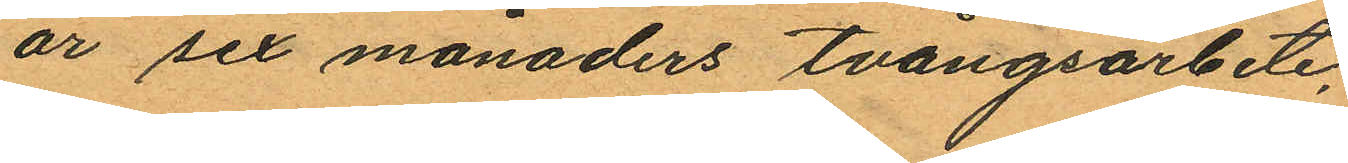år sex månaders tvångsarbete,
